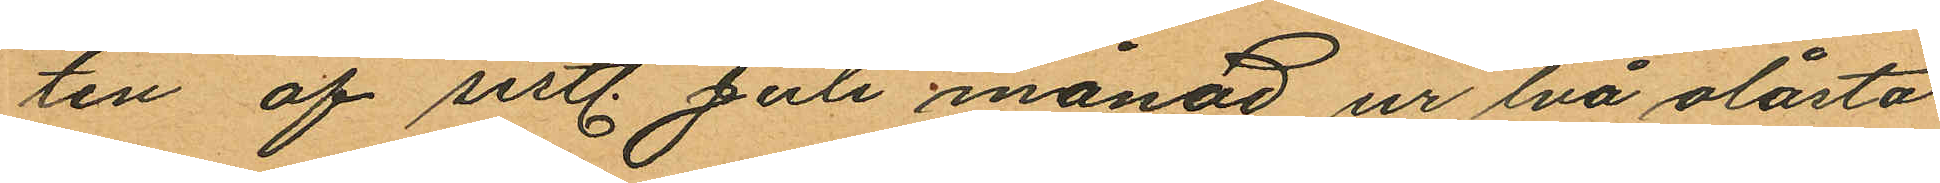ten af sistl. Juli månad ur lvå olåsta
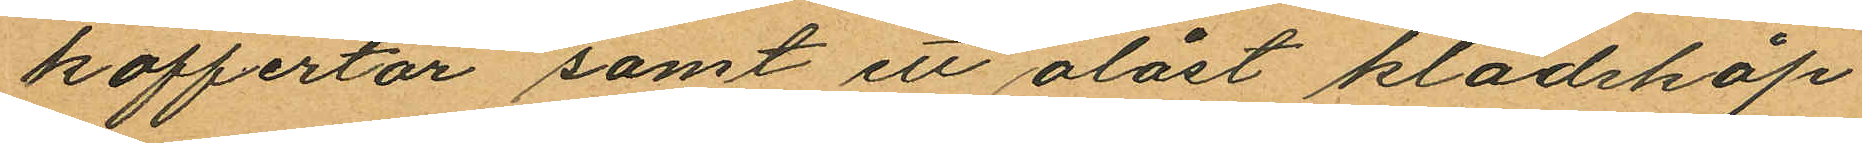koffertar samt ett olåst klädskåp
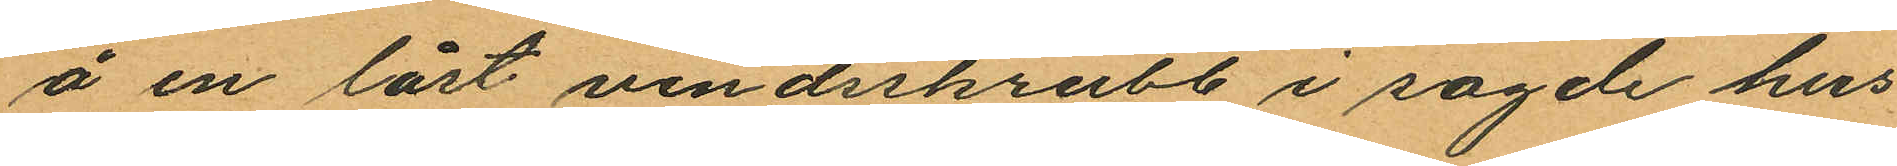å en låst vindsskrubb i sagde hus
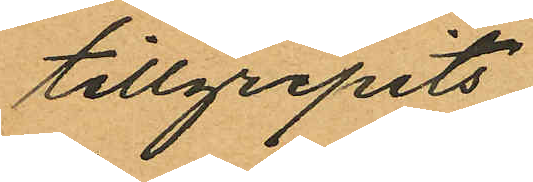tillgripits
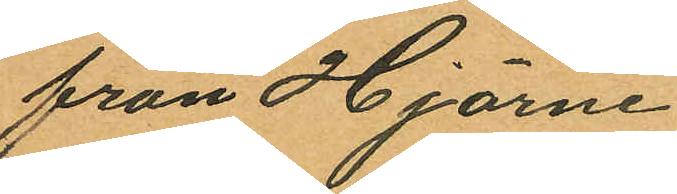från Hjärne
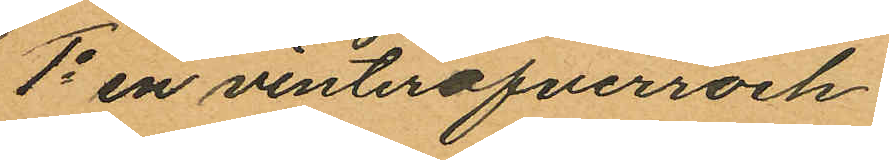1o en vinteröfverrock
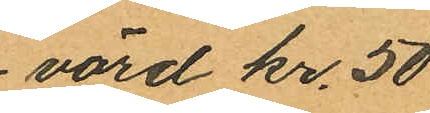värd kr. 50
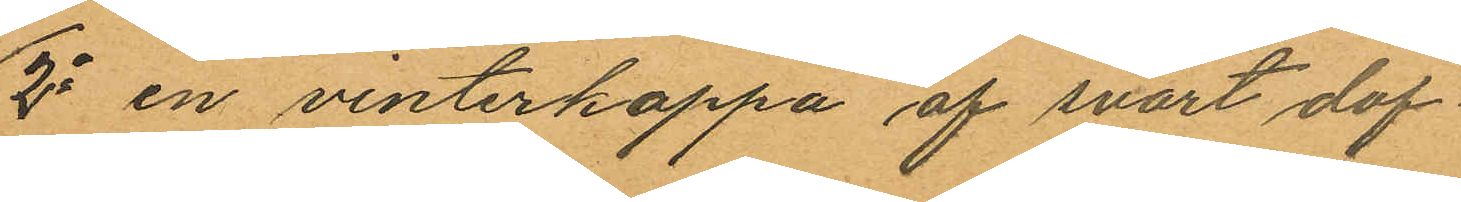2o en vinterkappa af svart dof¬
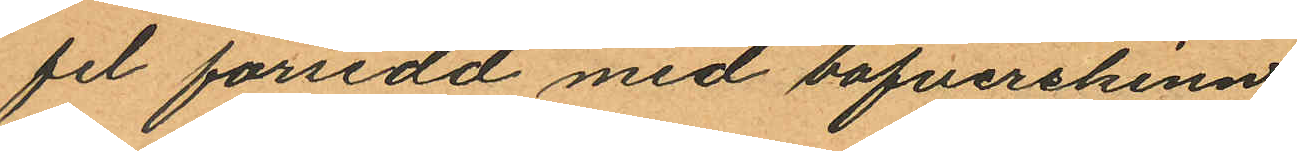fel försedd med bäfverskinn
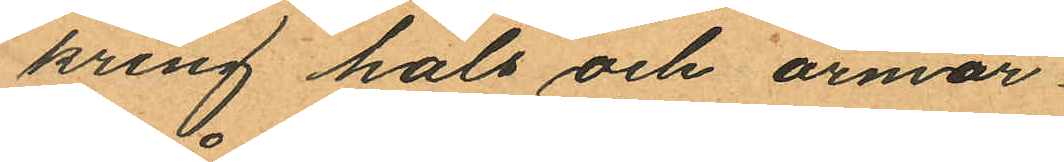kring hals och ärmar
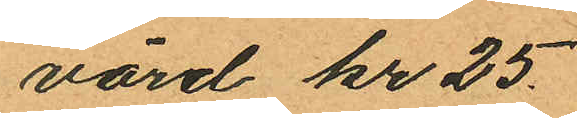värd kr 25.
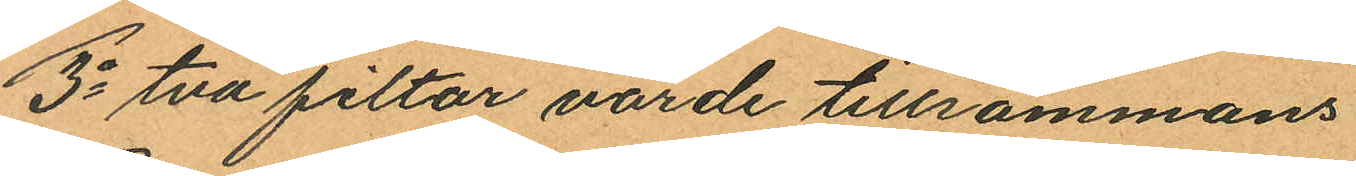3o två filtar värde tillsammans
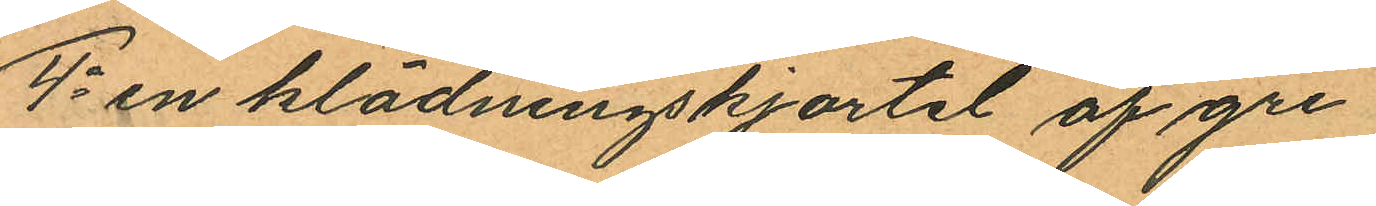4o en klädningskjortel af gre
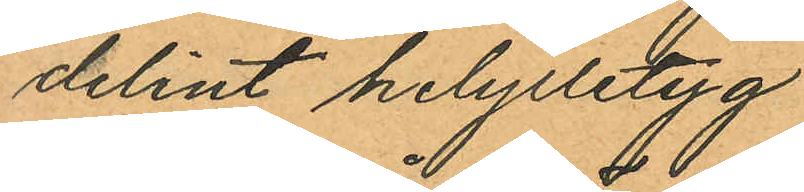delint helylletyg
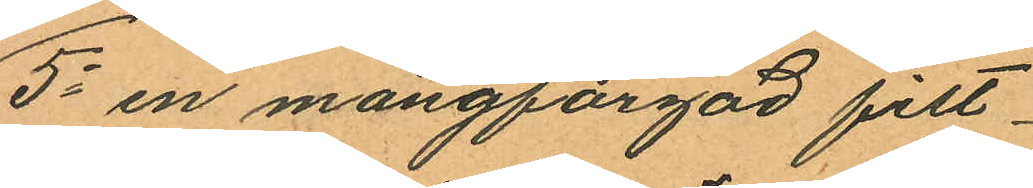5o en mångfärgad filt
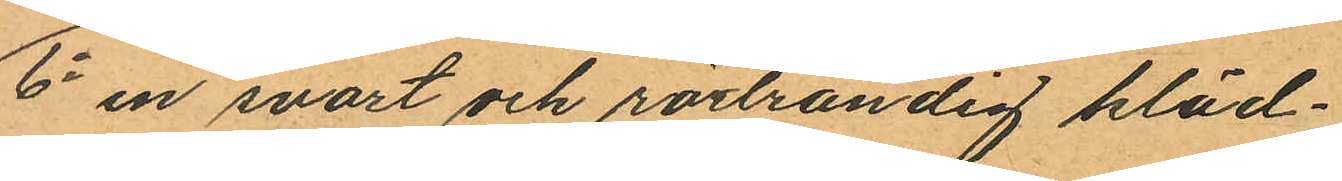6o en svart och rödrandig kläd¬
